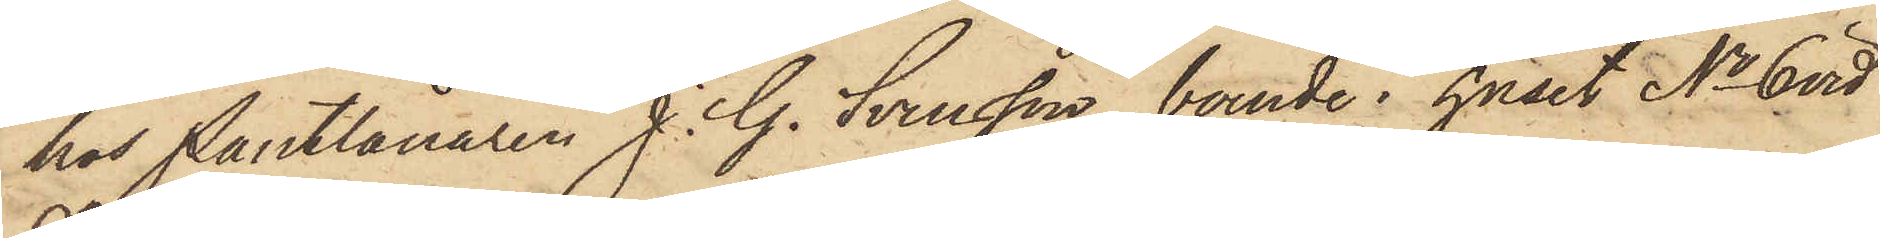hos Pantlånaren J. G. Svensson, boende i huset No 6 vid
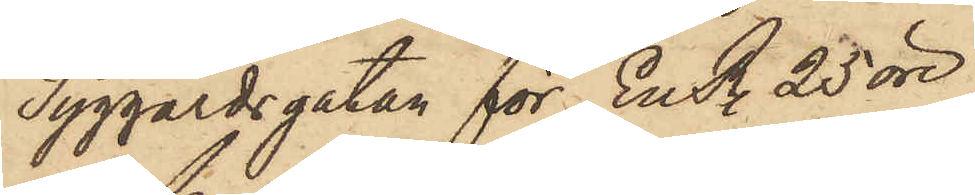Tyggårdsgatan för En R. 25 öre.
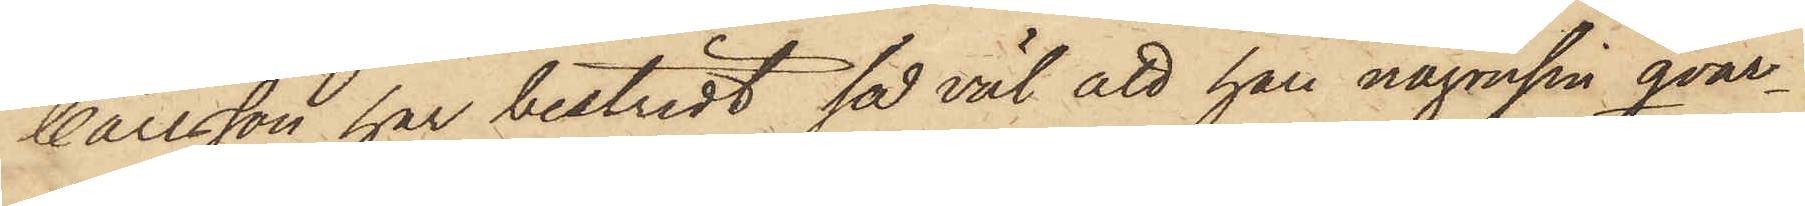Carlsson har bestridt så väl att han någonsin qvar¬
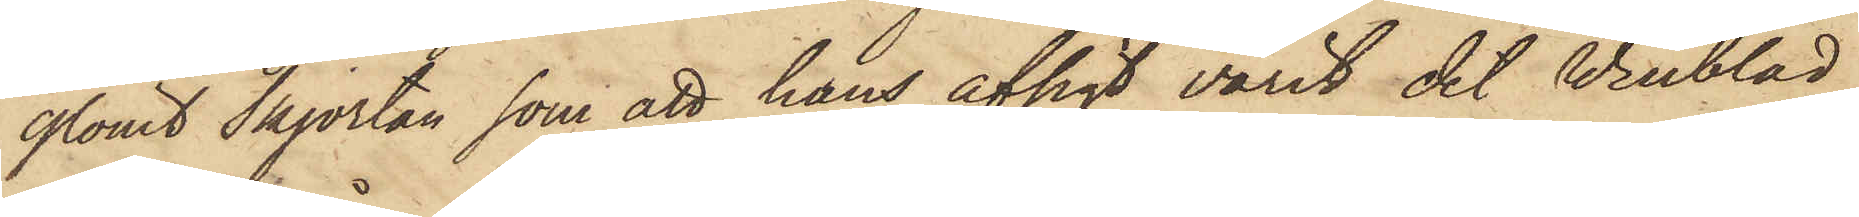glömt skjortan, som att hans afsigt varit det Winblad
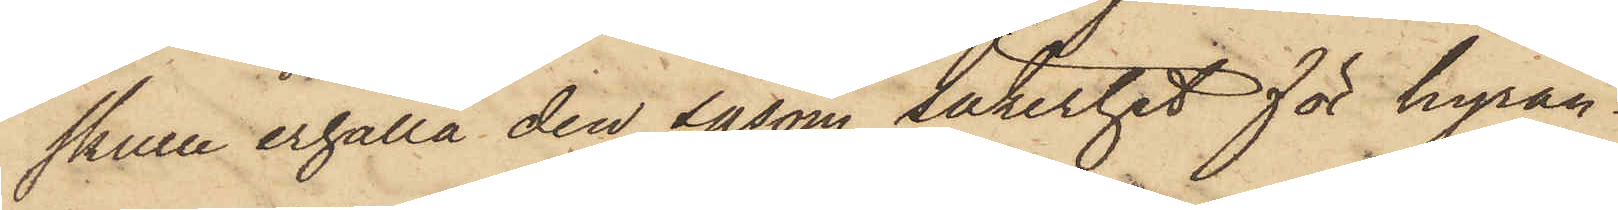skulle erhålla den såsom säkerhet för hyran.
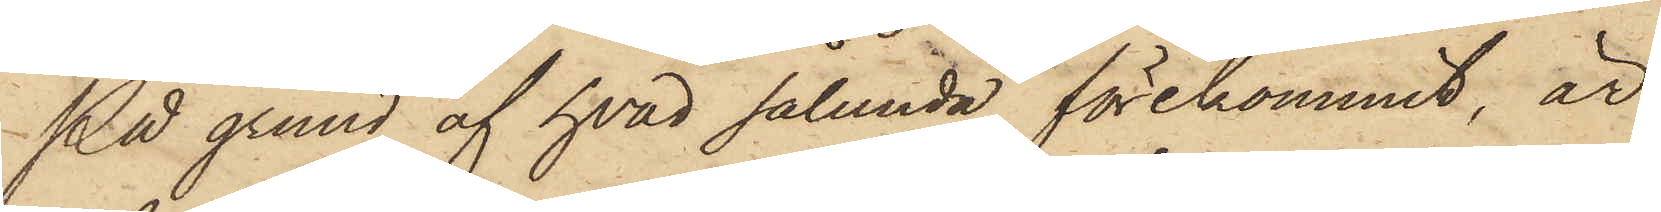På grund af hvad sålunda förekommit, är
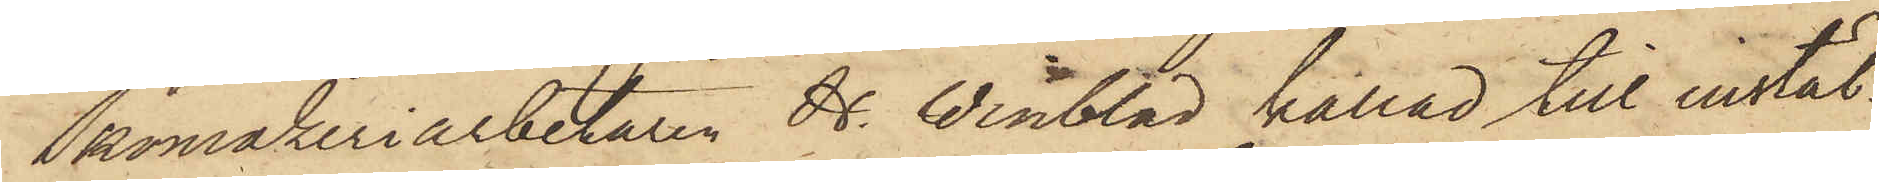Skomakeriarbetaren H. Winblad kallad till instäl¬
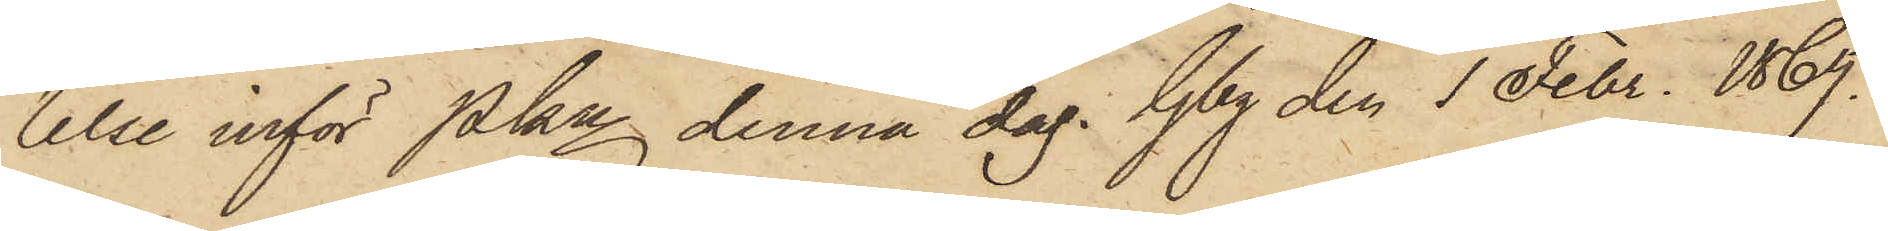lelse inför Pkn denna dag. Gbg den 1 Febr. 1869.
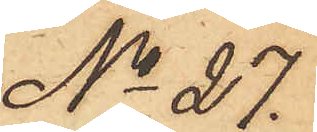No 27.
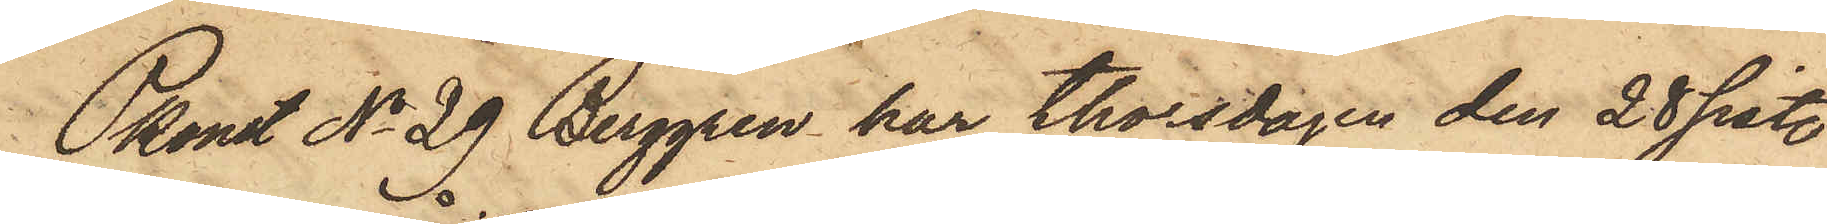Pkonst No 29 Berggren har thorsdagen den 28 sist.
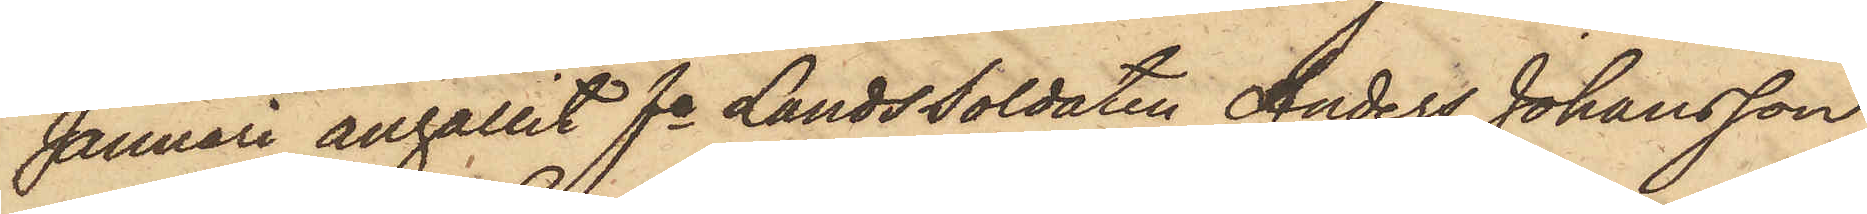Januari angållit fe LandsSoldaten Anders Johansson
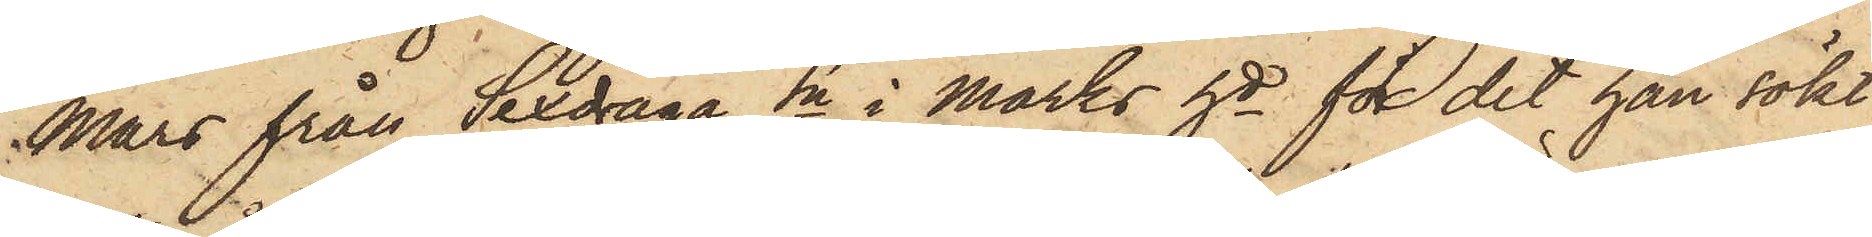Mars från Sexdräga Sn i Marks hd för det han sökt
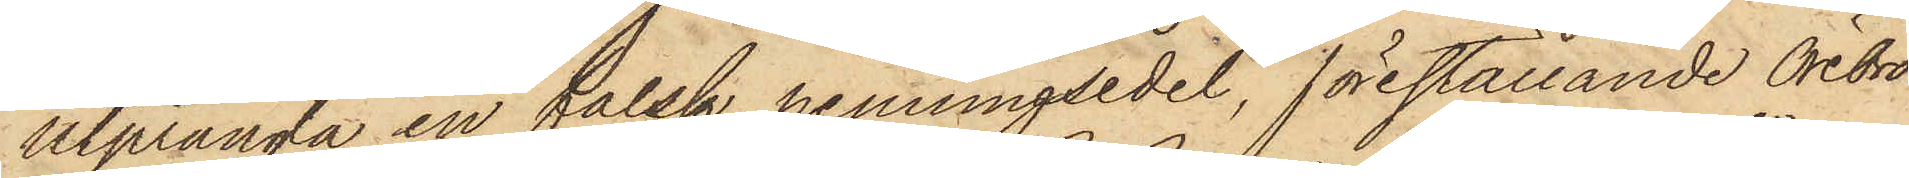utprångla en falsk penningsedel, föreställande Örebro
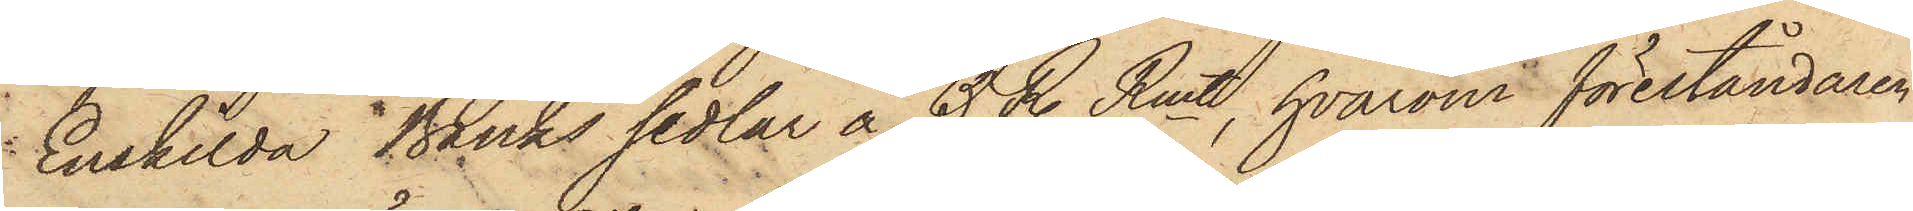Enskilda Banks sedlar å 5 R. Rmt, hvarom föreståndaren
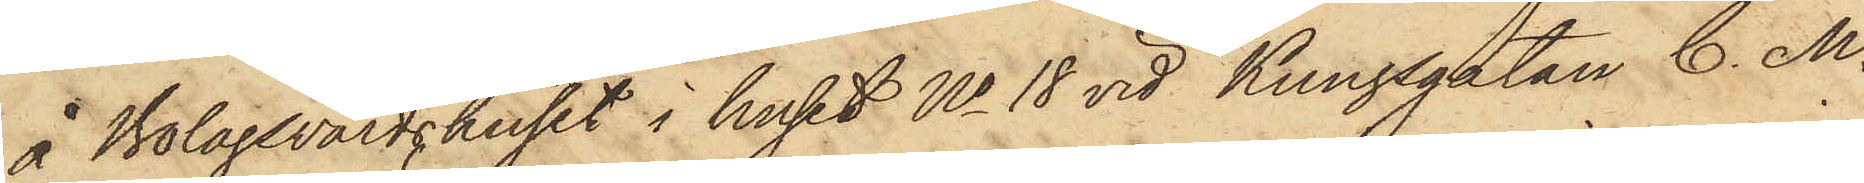å Bolagsvärdshuset i huset No 18 vid Kungsgatan C. M.
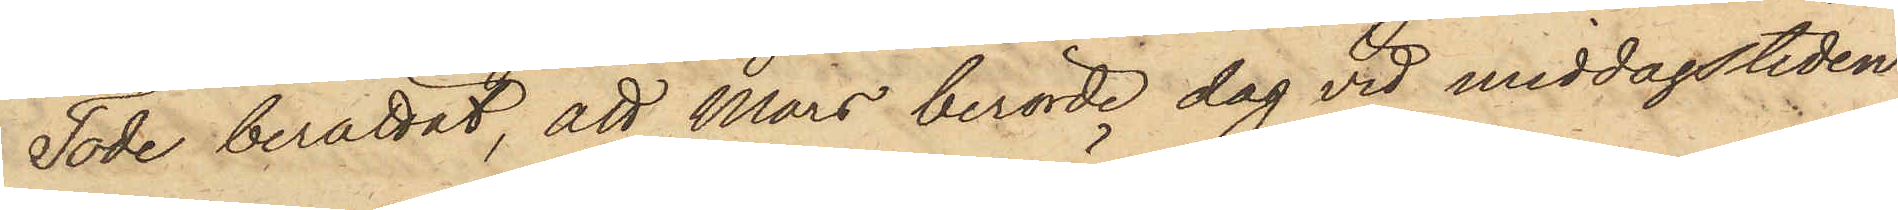Tode berättat, att Mars berörde dag vid middagstiden
